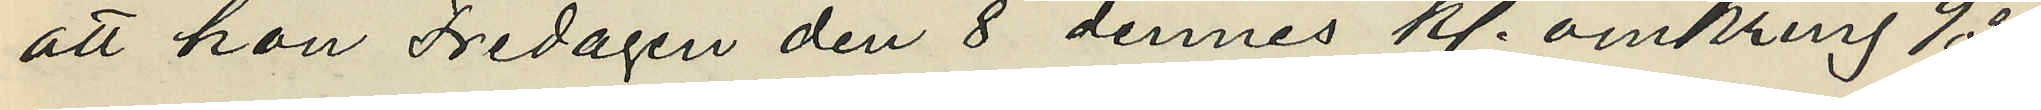att hon Fredagen den 8 dennes kl. omkring 9,30
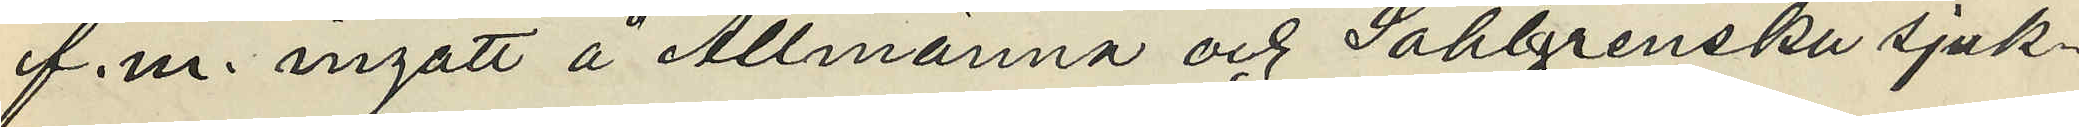f.m. ingått å Allmänna och Sahlgrenska sjuk¬
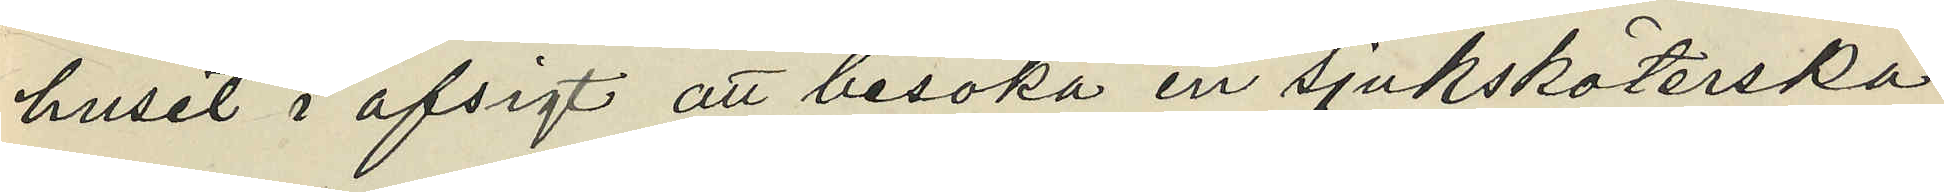huset i afsigt att besöka en sjuksköterska
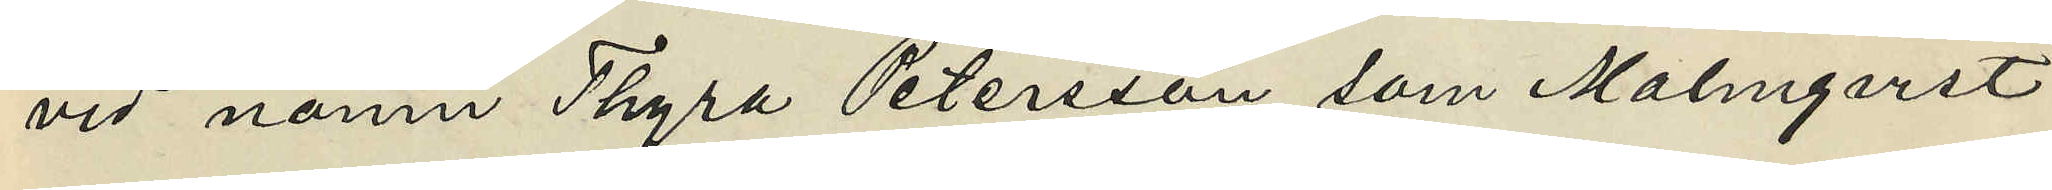vid namn Thyra Petersson som Malmgqvist
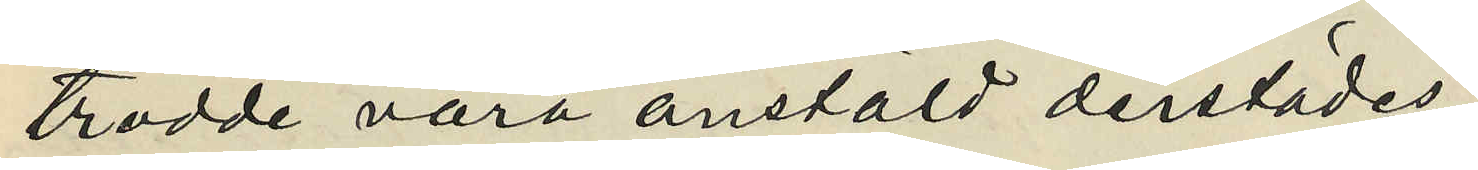trodde vara anstäld derstädes
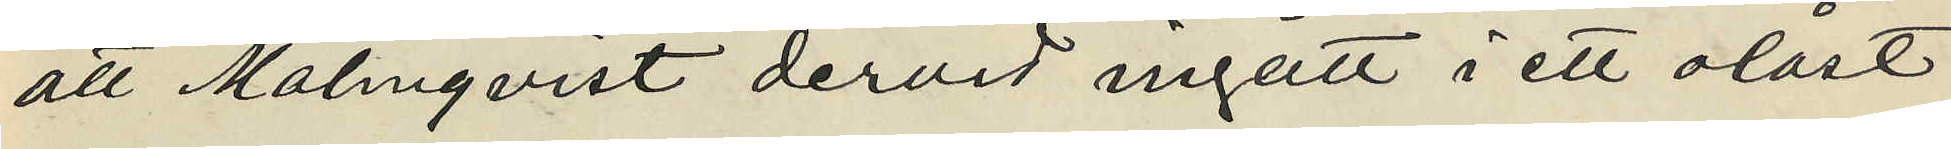att Malmqvist dervid ingått i ett olåst
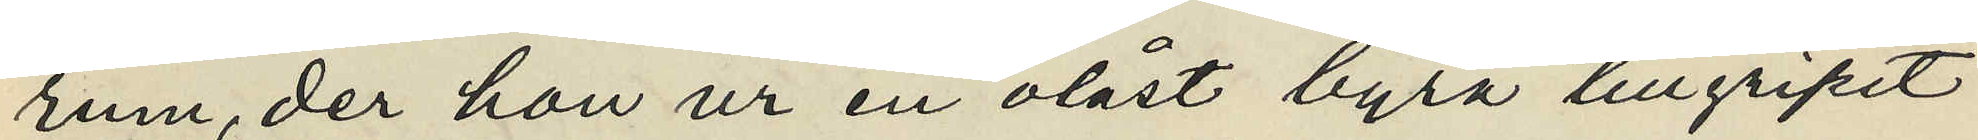rum, der hon ur en olåst byrå tillgripit
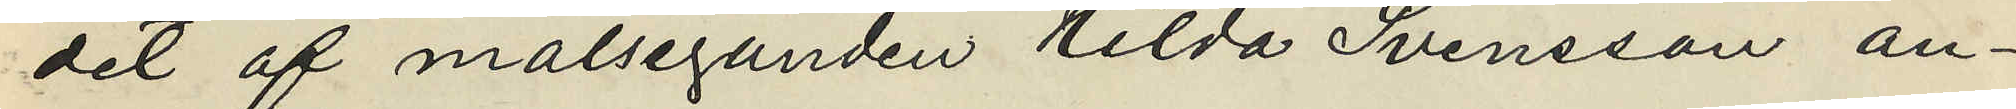det af målseganden Hilda Svensson an¬
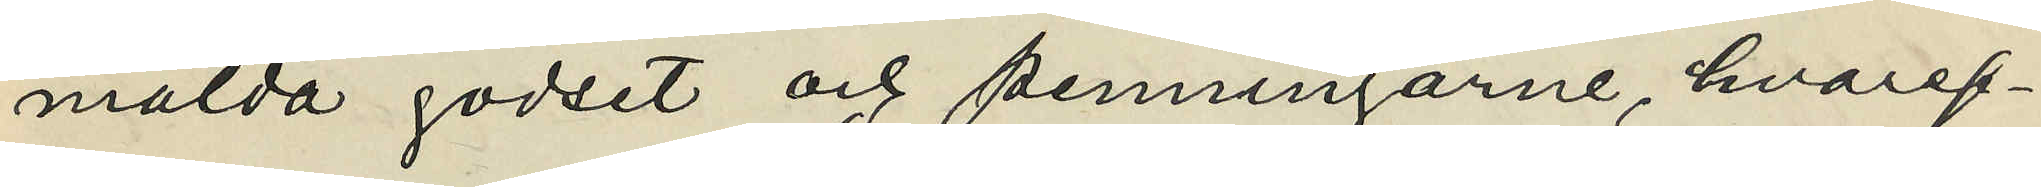mälda godset och penningarne, hvaref¬
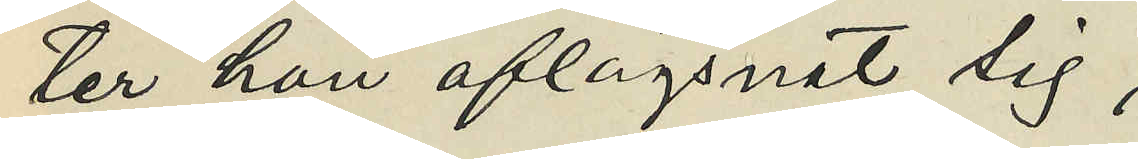ter hon aflägsnat sig,
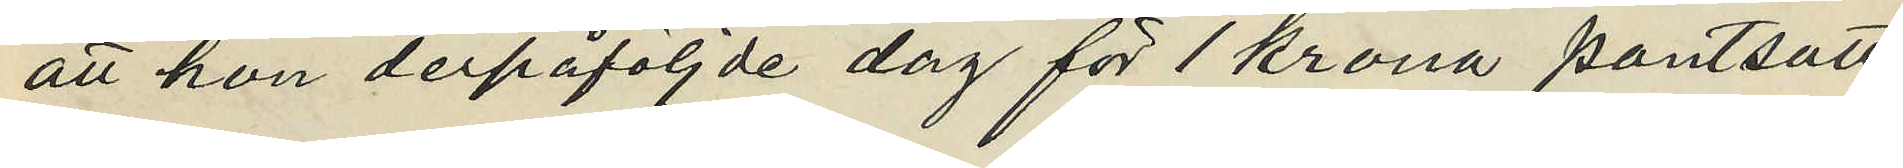att hon derpåföljde dag för 1 krona pantsatt
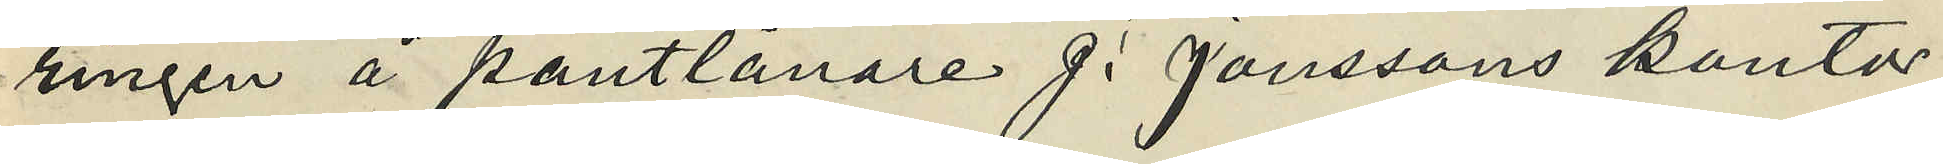ringen å pantlånare J. Janssons kontor
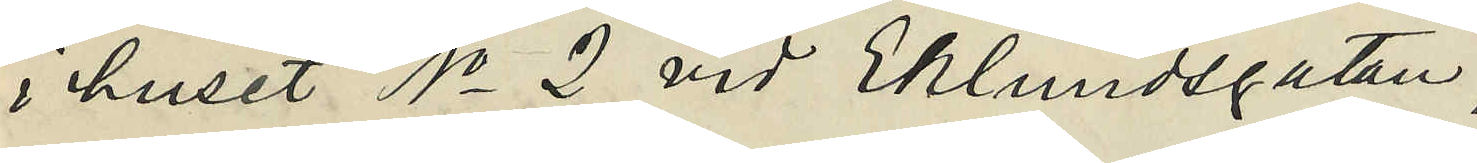i huset No 2 vid Eklundsgatan,
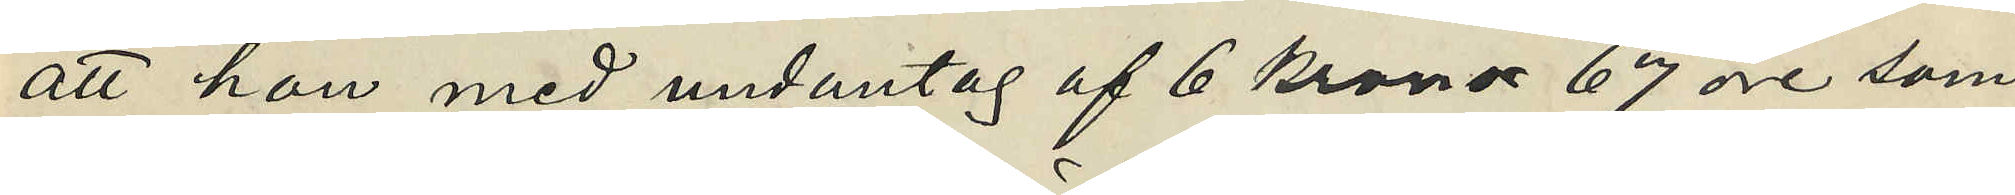att hon med undantag af 6 kronor 67 öre som
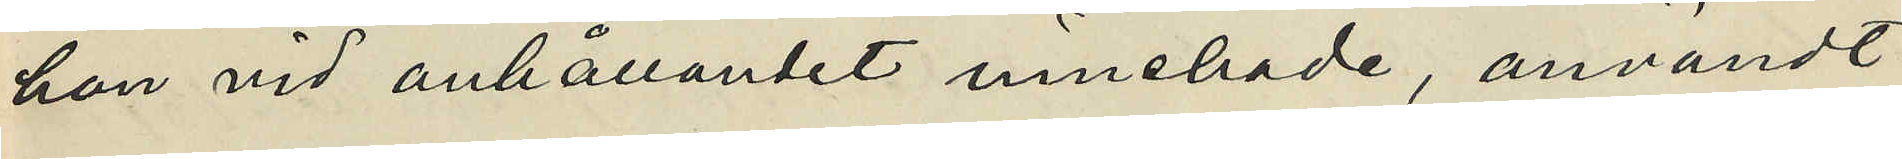hon vid anhållandet innehade, användt
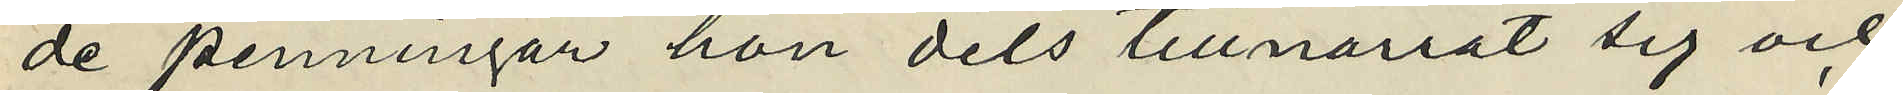de penningar hon dels tillnarrat sig och
